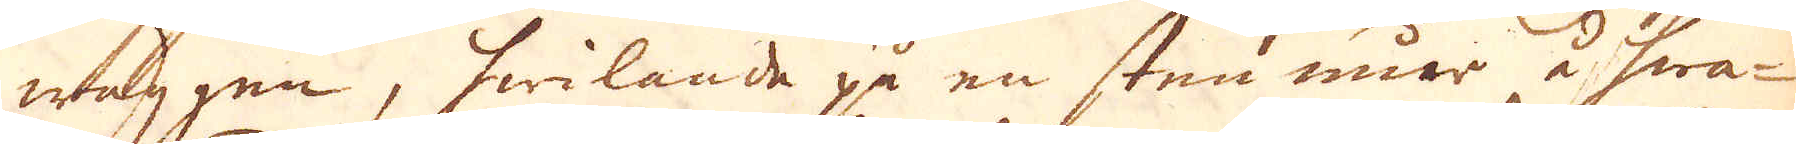wäggen, hwilande på en sten mur å hwa-
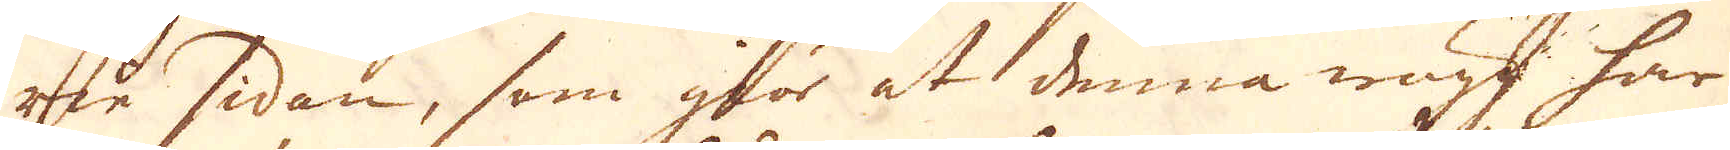rie sidan, som giör at denna wägg har
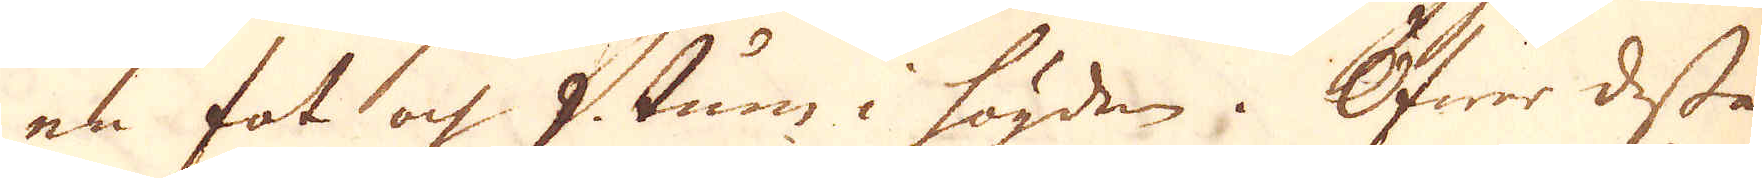en fot och 9 tum i högden. Öfwer dessa
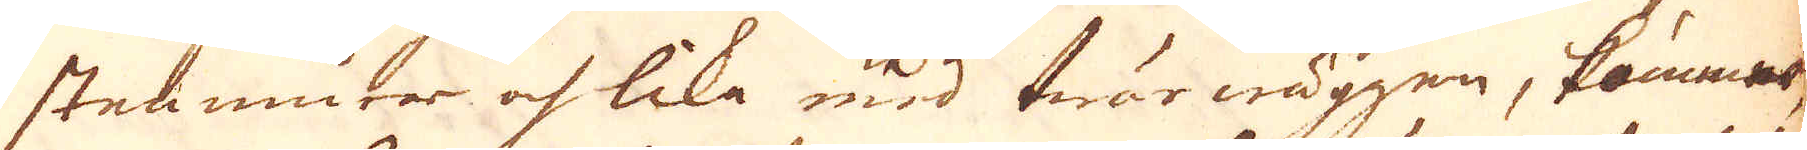stenmurar och lika med twärwäggen, kommer,
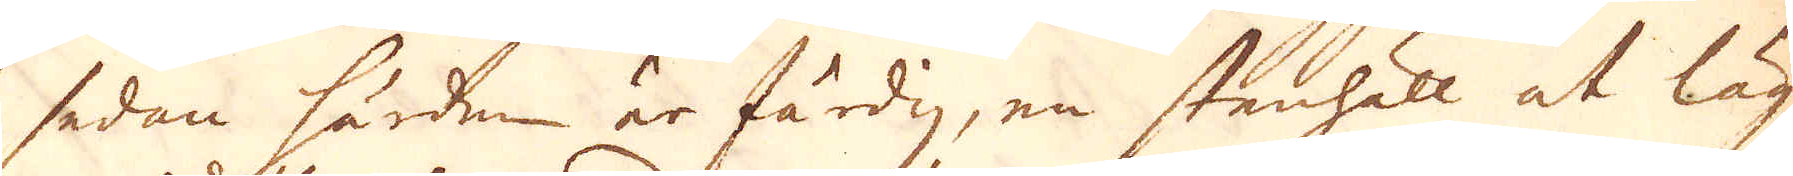sedan härden är färdig, en stenhäll at läg-
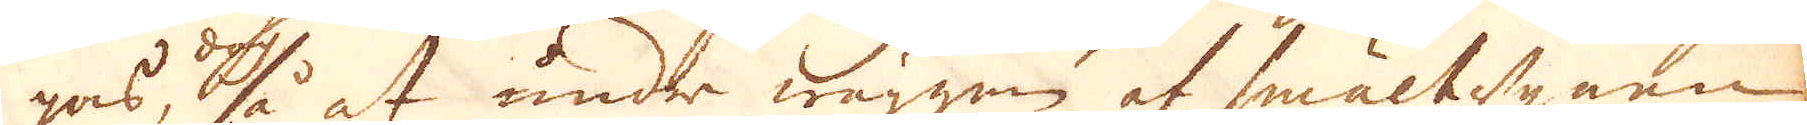gas, så at under wäggen af smältugnen
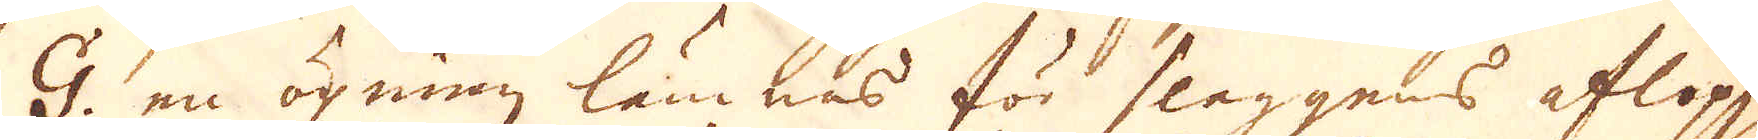G. en öpning lämnas för slaggens aflopp,
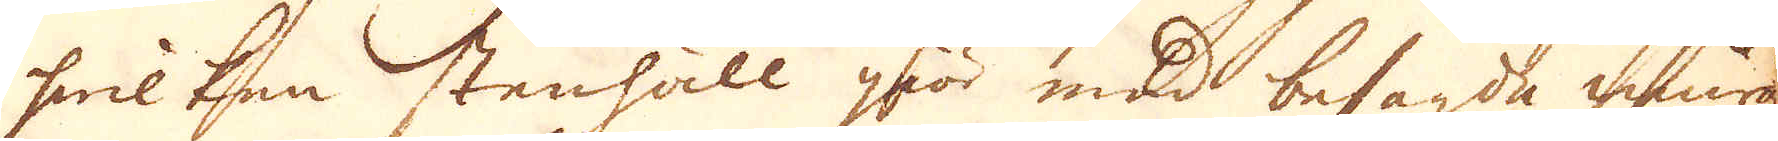hwilken stenhäll giör med besagda murar
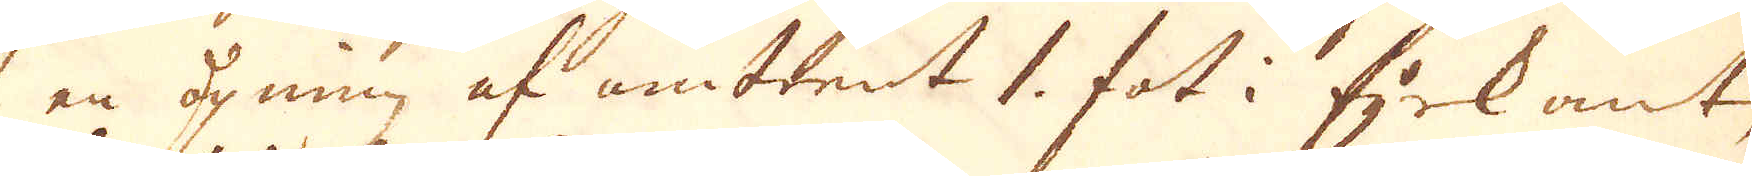en öpning af omtrent 1. fot i fyrkant,
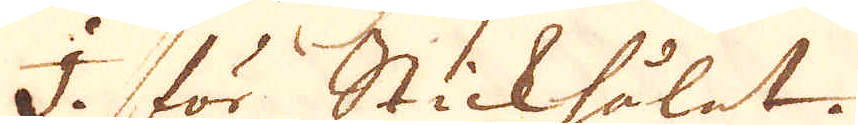I. för Stickhålet.
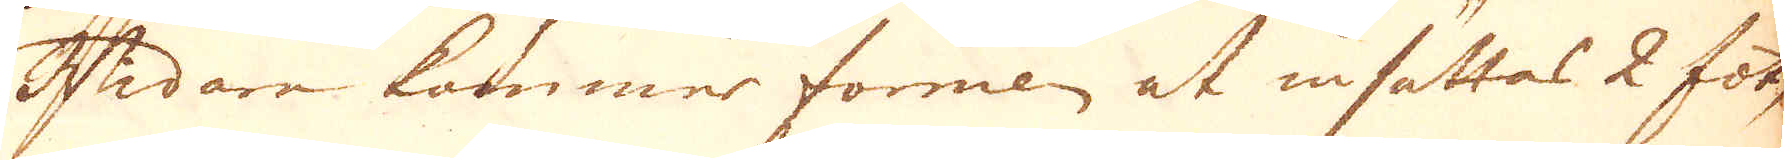Widare kommer formen at insättas 2 fot
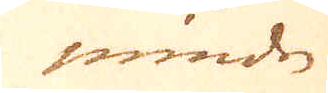mindre
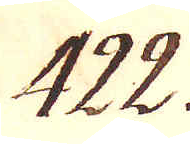422.
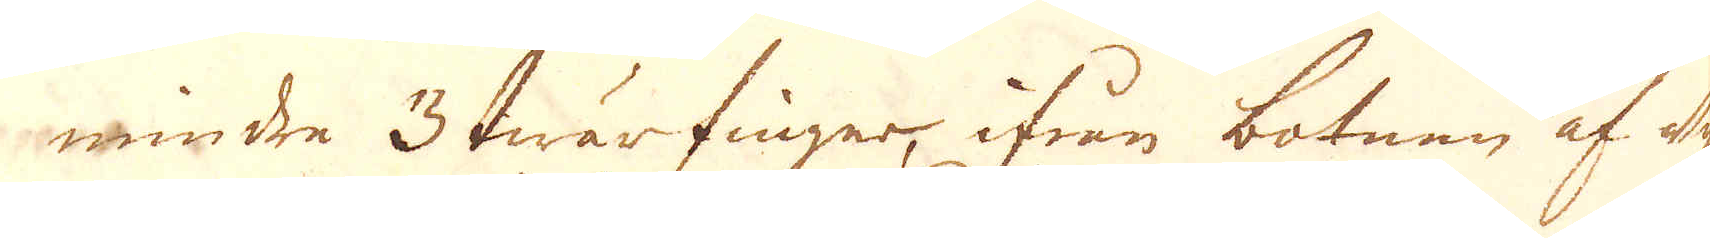mindre 3 twärfinger, ifrån botnen af ugnen
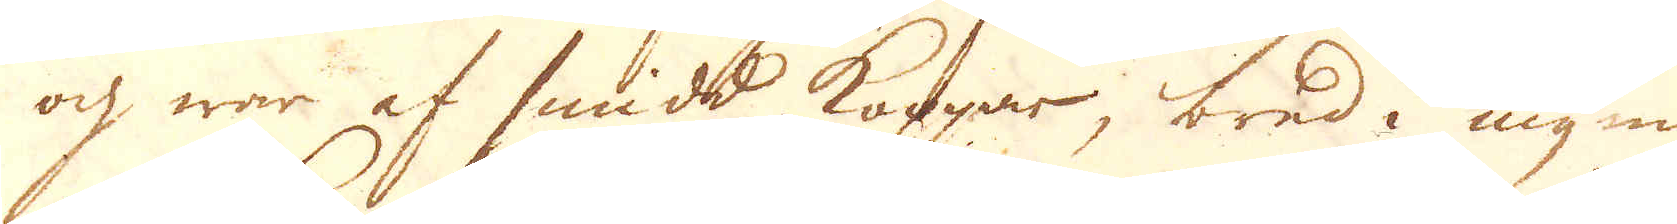och war af smidd Koppar, bred i mynnin-
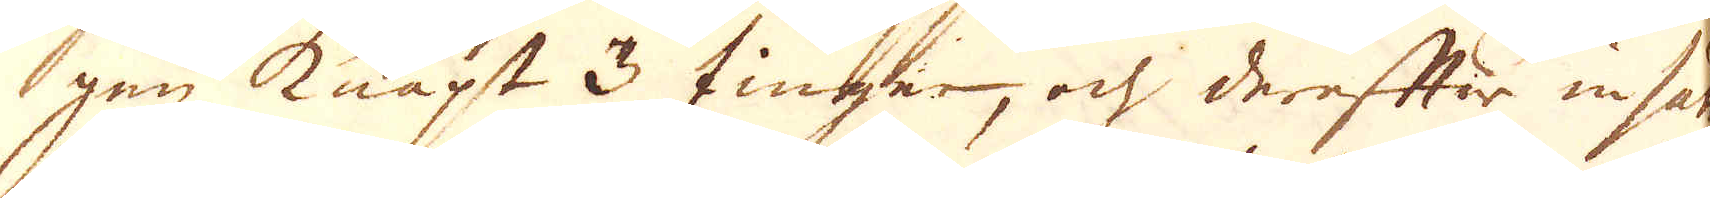gen knapt 3 finger, och derefter insänkt i
